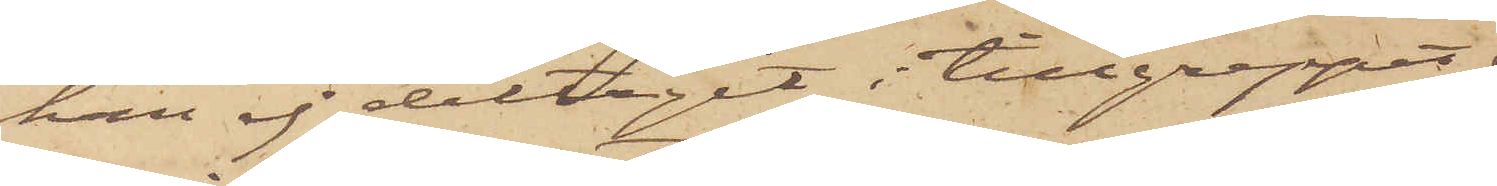han ej deltagit i tillgreppet från
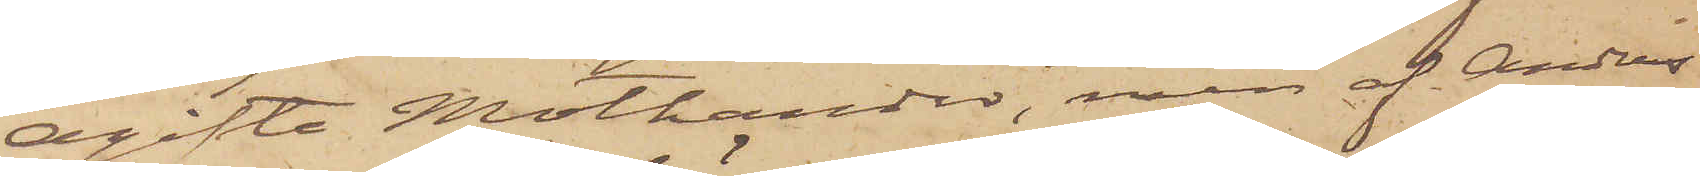ogifta Mothander, men af Anders
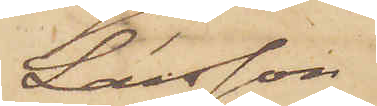Larsson
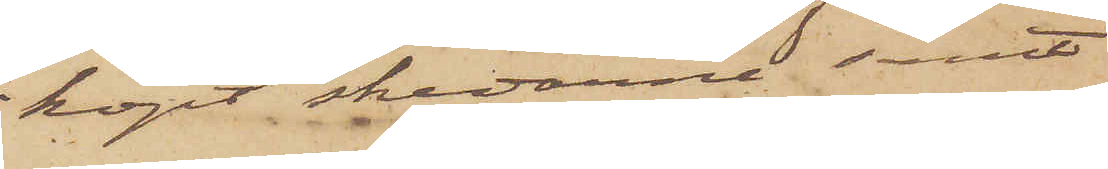köpt skedarne samt
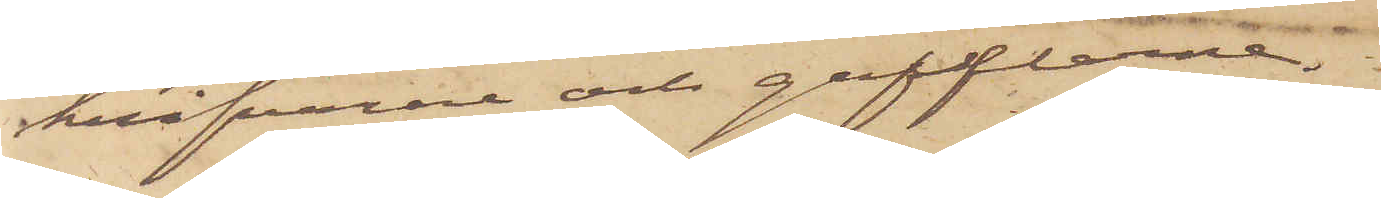knifvarne och gafflarne.
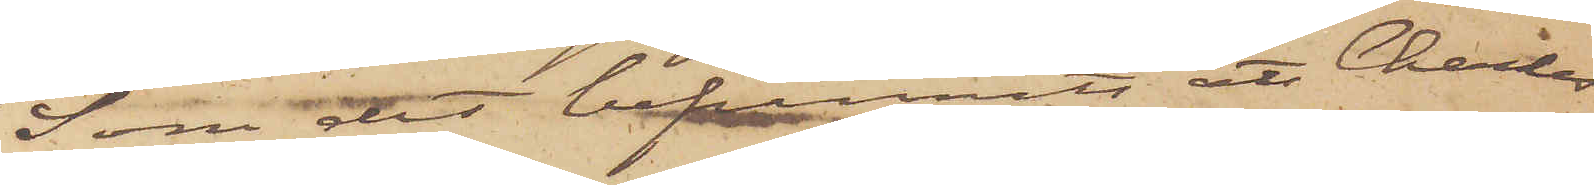Som det befunnits att Charles
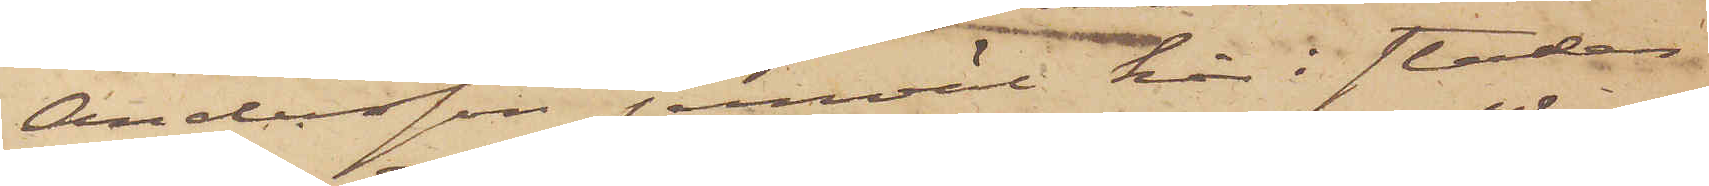Andersson jemväl här i staden
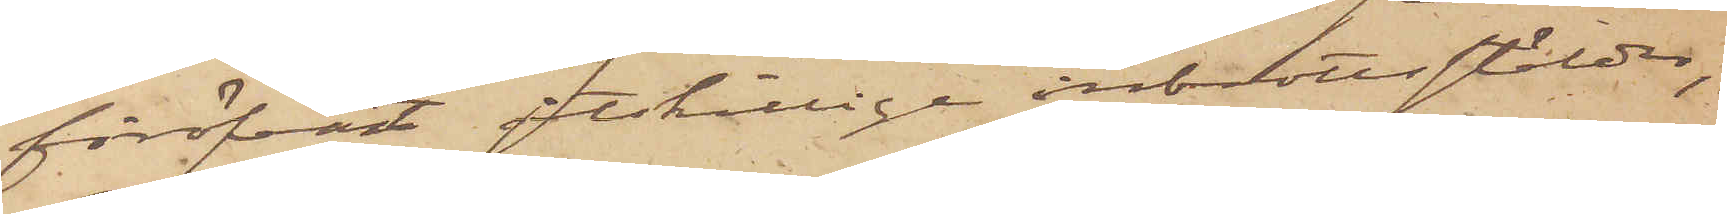föröfvat åtskillige inbrottsstölder,
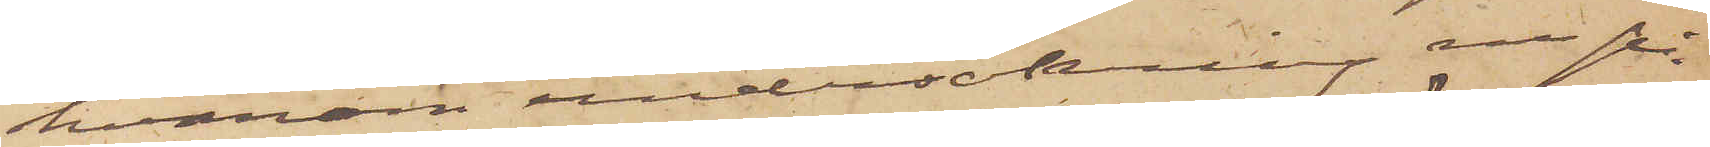hvarom undersökning nu på¬
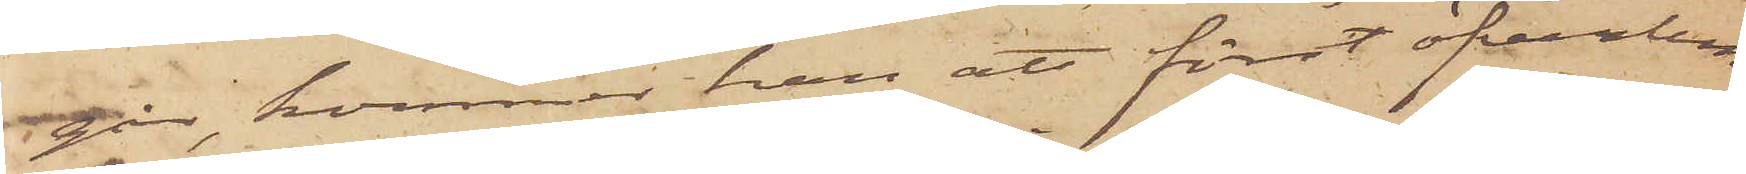går, kommer han att först öfverlem¬
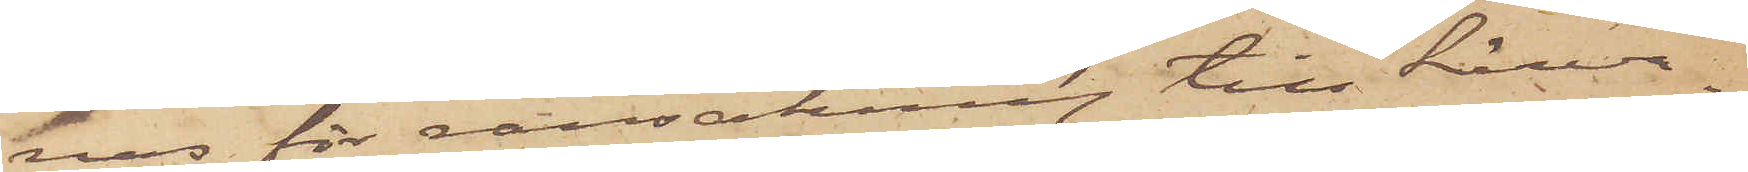nas för ransakning till härva¬
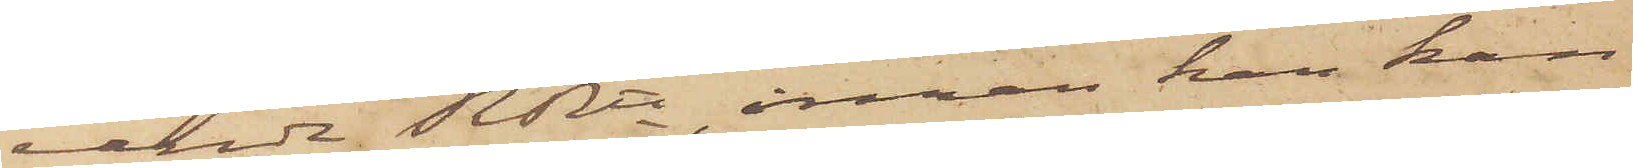rande RRtt, innan han kan
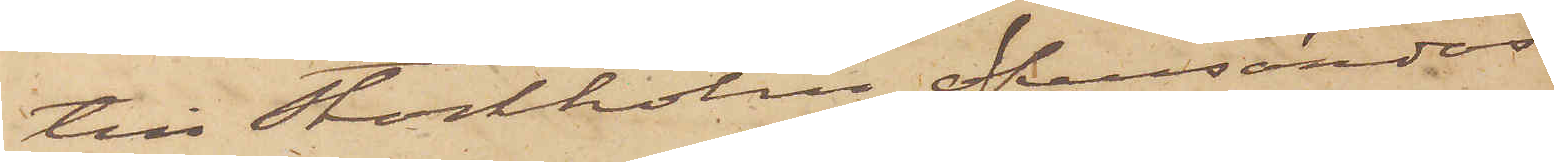till Stockholm öfversändas.
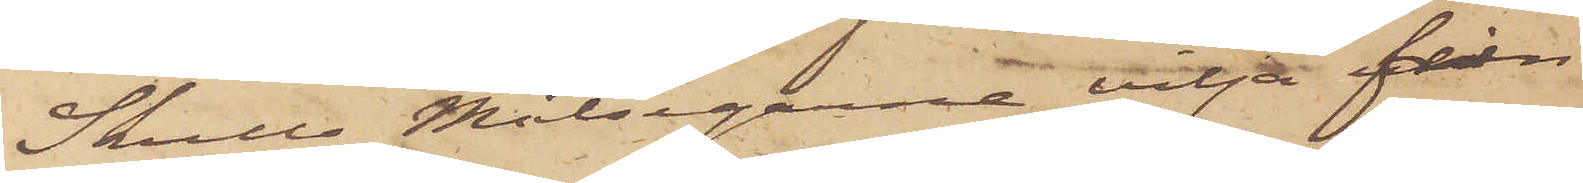Skulle Målsegarne vilja från
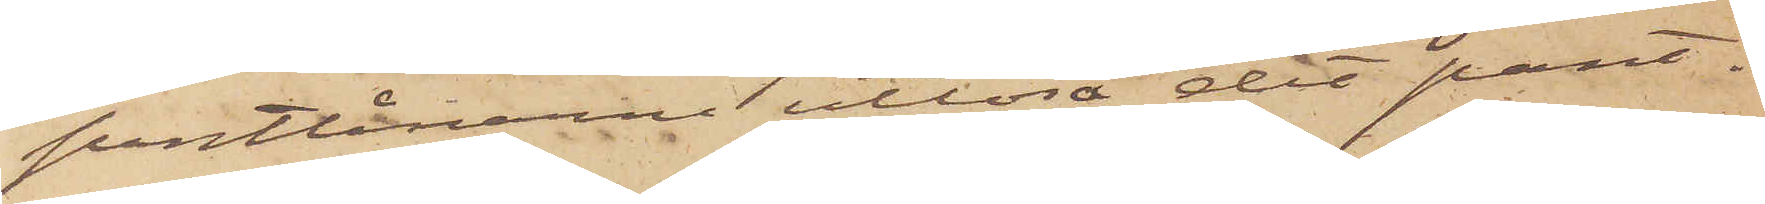Pantlånarne utlösa det pant¬
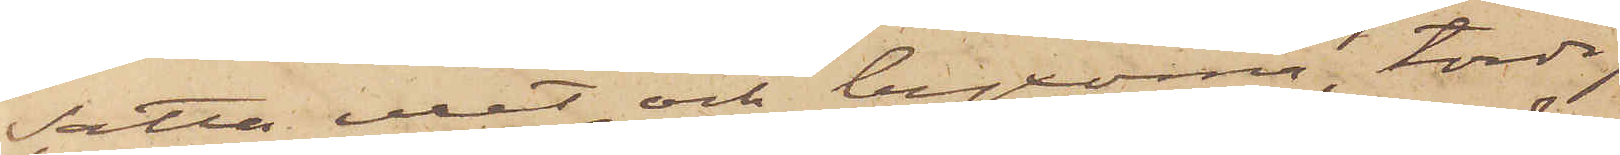satta uret och byxorna, torde
